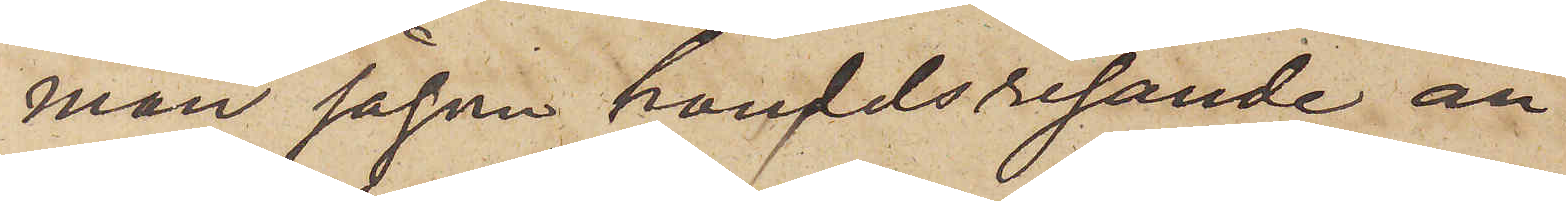man såsom handelsresande an¬
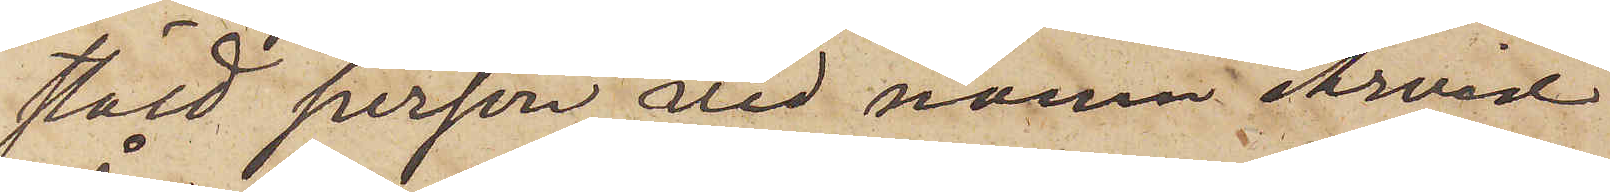stäld person vid namn Arvid
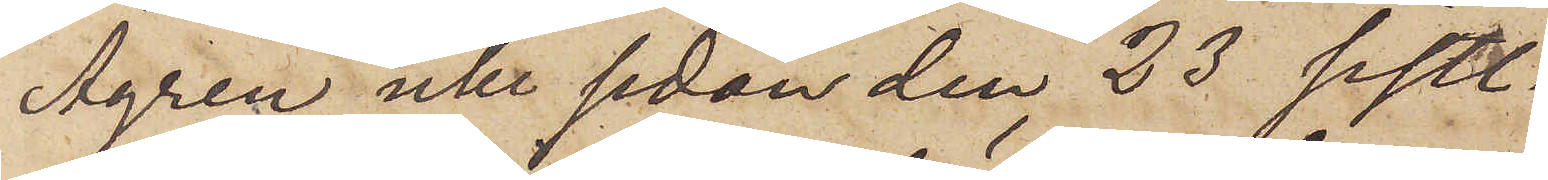Ågren icke sedan den 23 sistl.
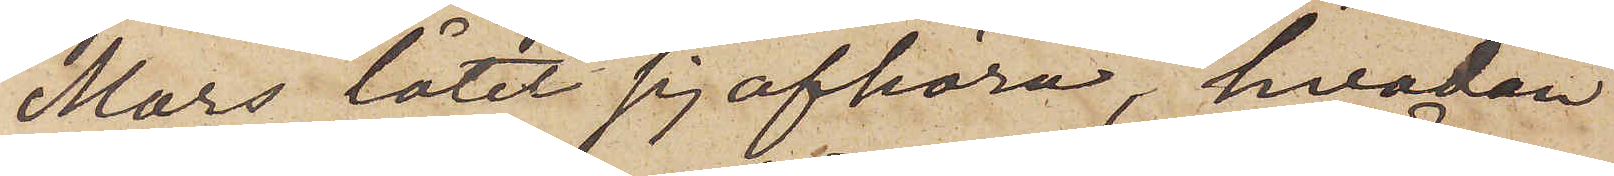Mars låtit sig afhöra, hvadan
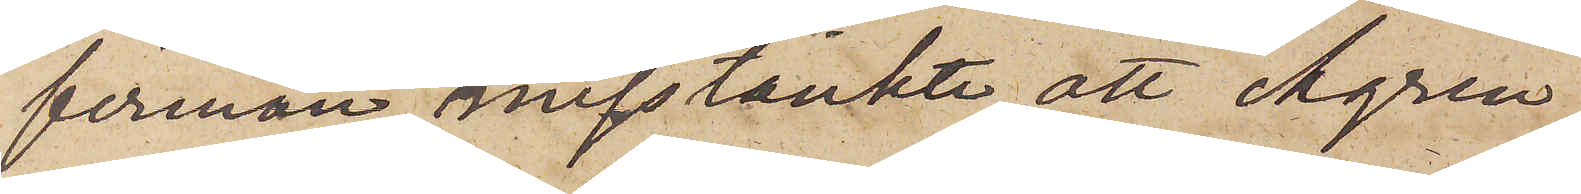firman misstänkte, att Ågren,
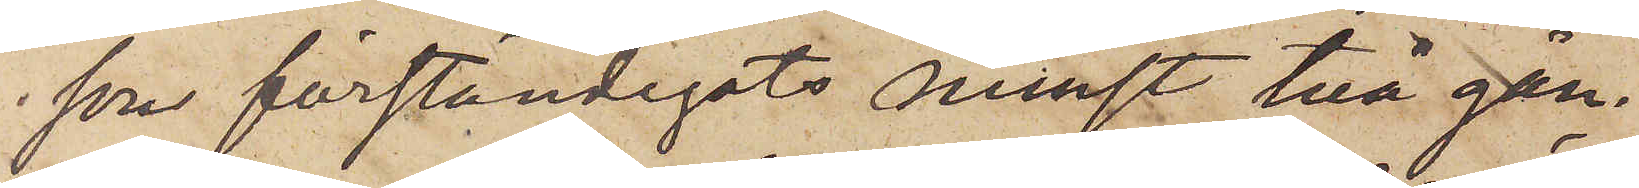som förständigats minst två gån¬
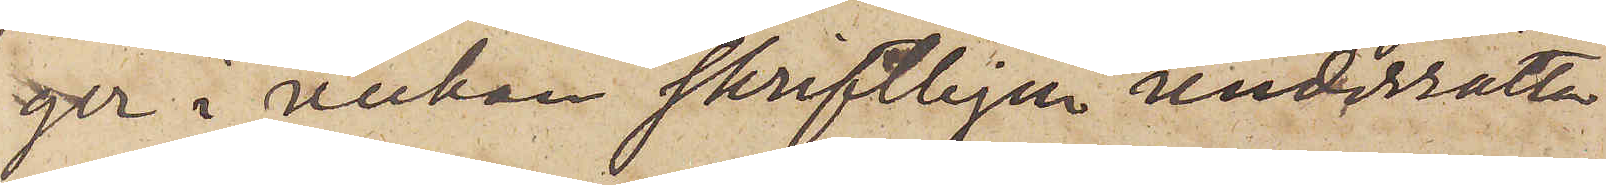ger i veckan skriftligen underrätta
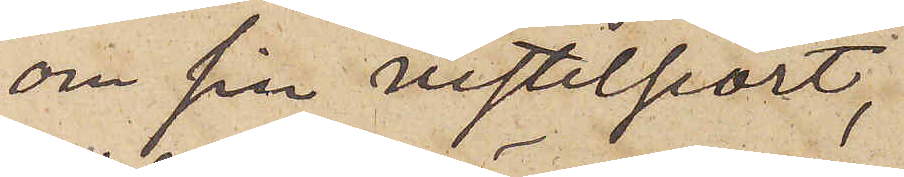om sin vistelseort,
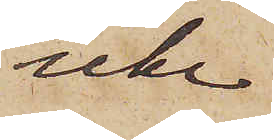icke
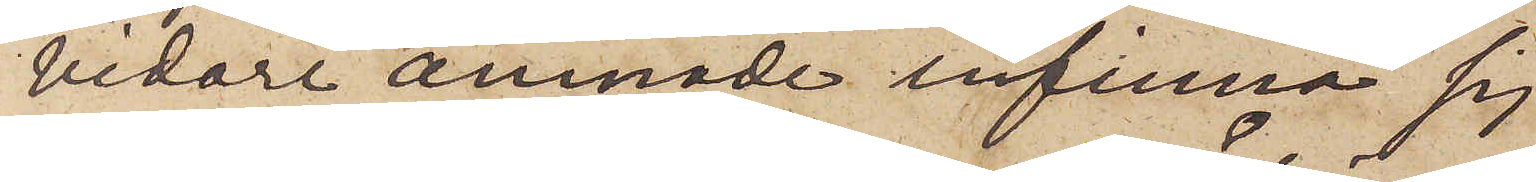vidare ämnade infinna sig
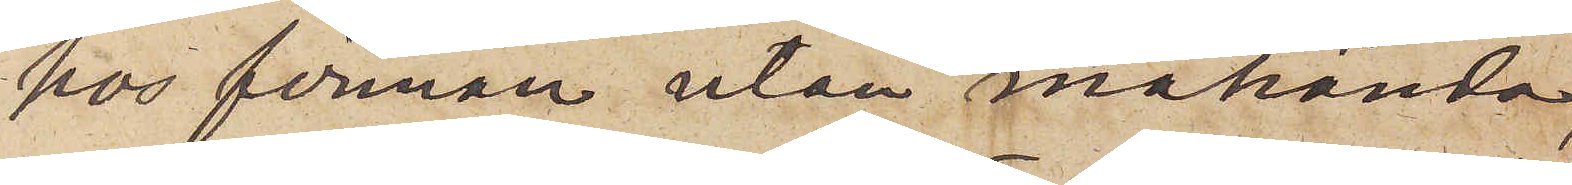hos firman utan måhända,
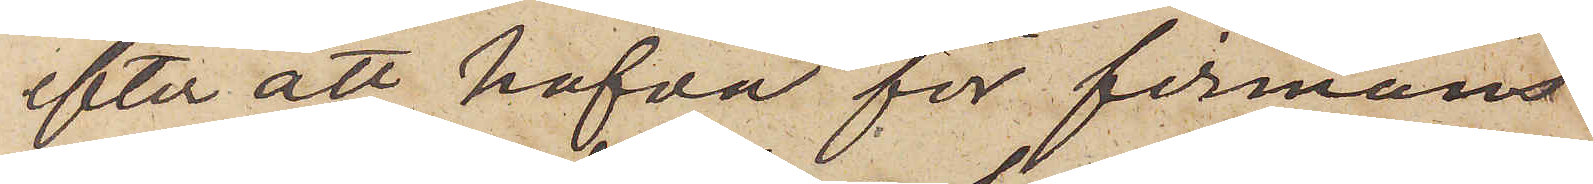efter att hafva för firmans
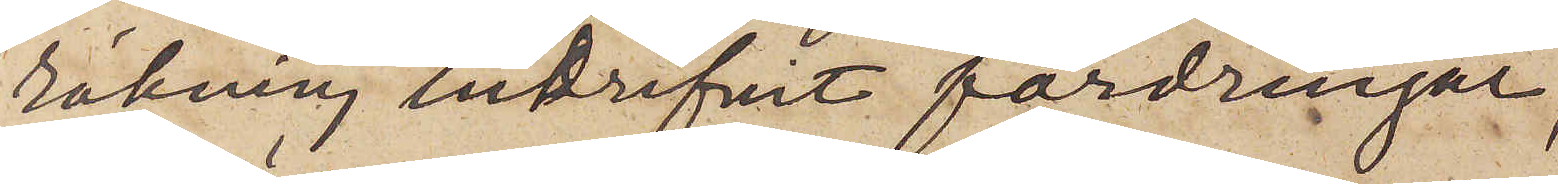räkning indrifvit fordringar,
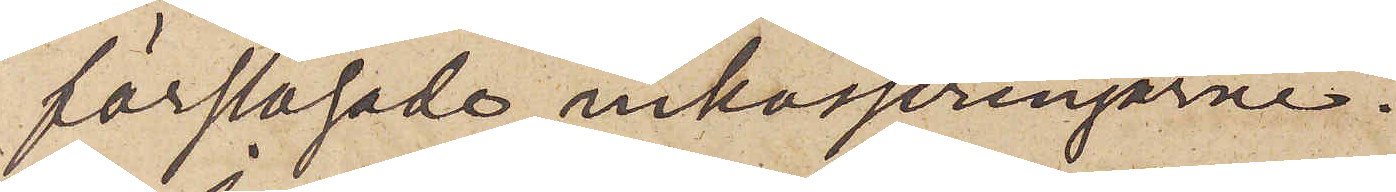förslösade inkasseringarne.
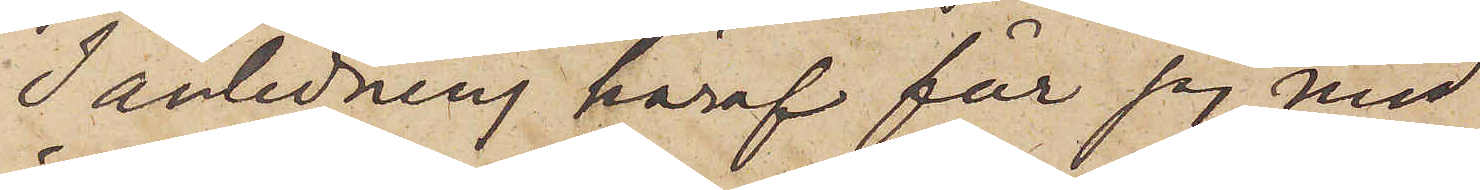I anledning häraf får jag, med
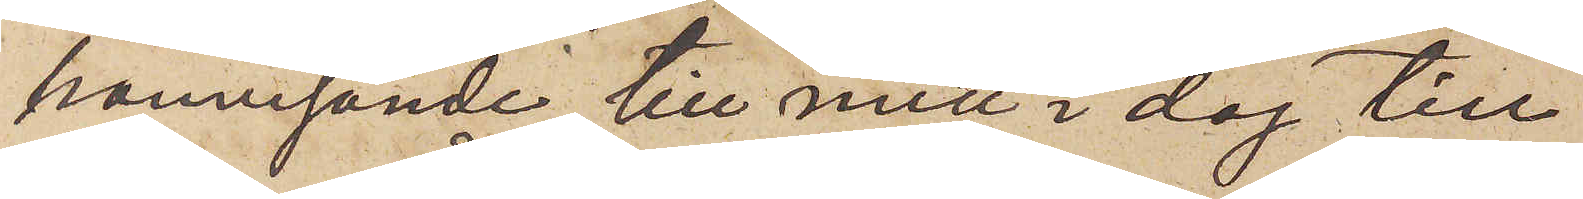hänvisande till mitt i dag till
